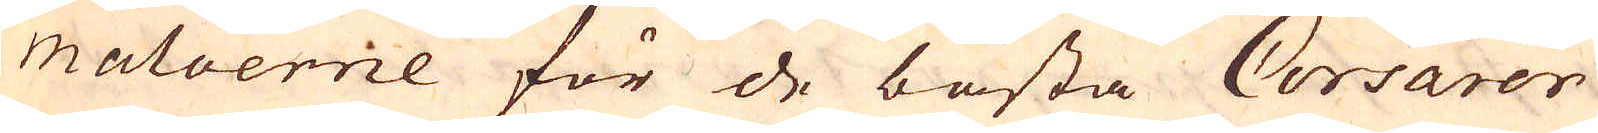matoernie för de bästa Corsarer
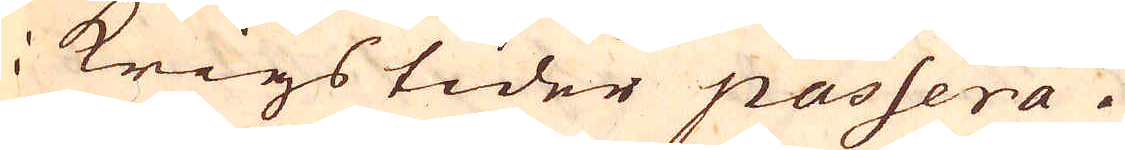i krigstider passera.
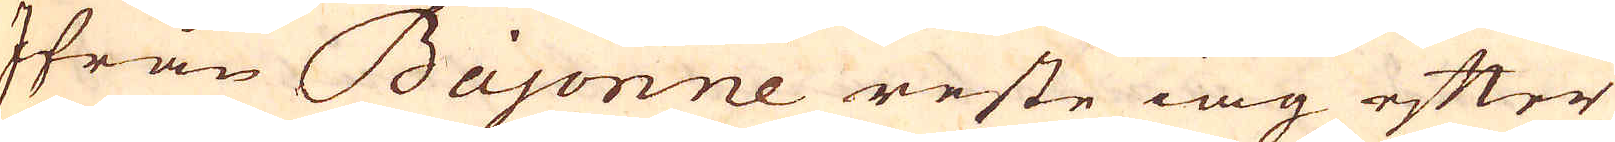Ifrån Bajonne reste iag efter
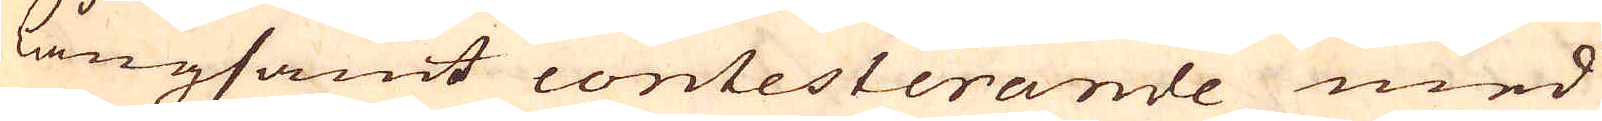långsamt contesterande med
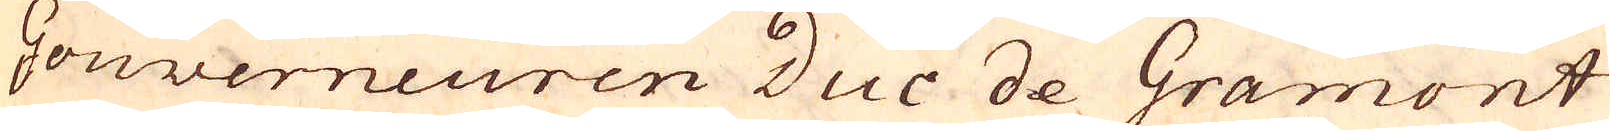Gouverneuren Duc de Gramont
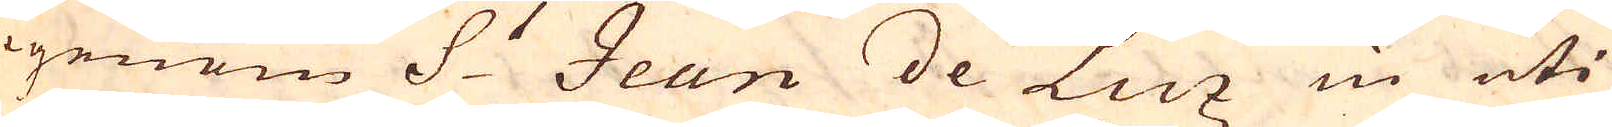igenom S:t Jean de Luz in uti
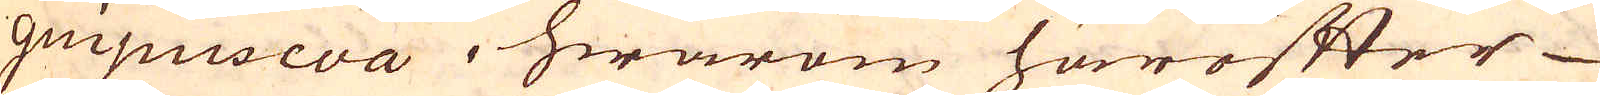guipuscoa, hwarom härefter
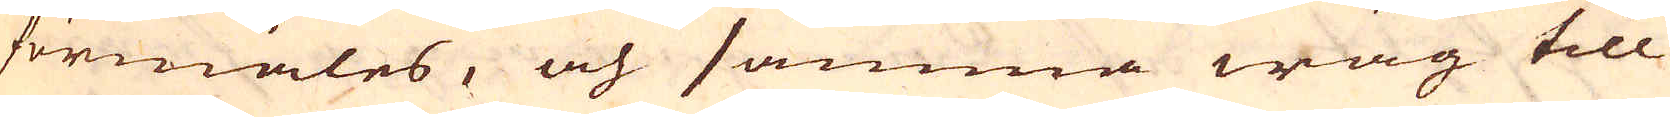förmäles, och samma wäg till
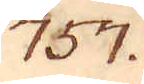757.
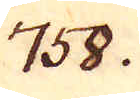758.
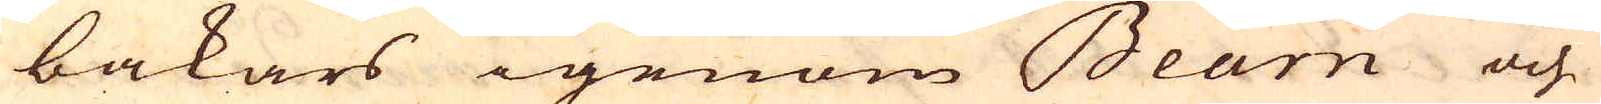bakars igenom Bearn och
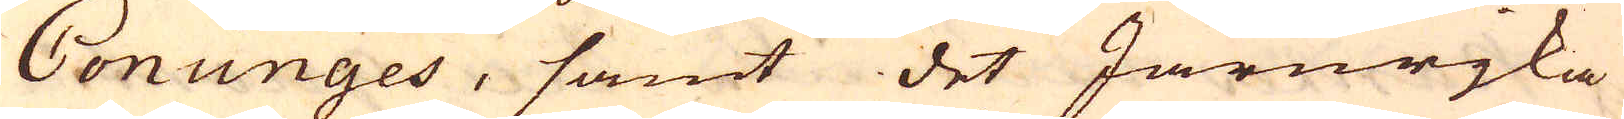Cönüges, samt det Järnrjka
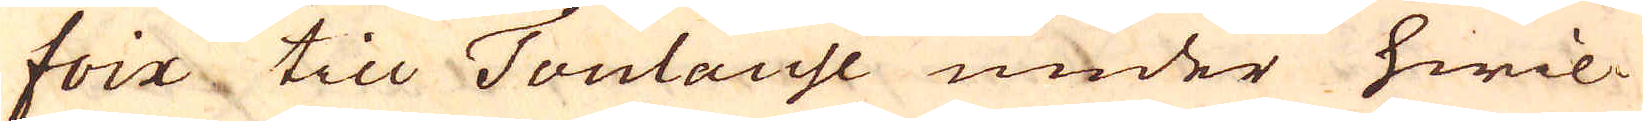foix till Toulouse under hwil-
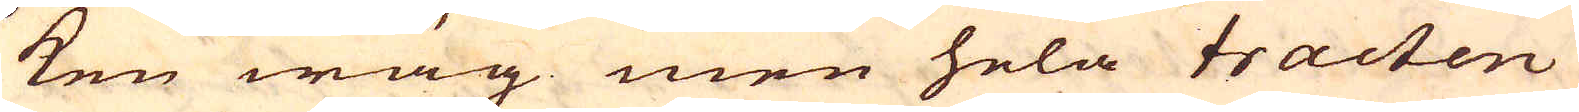ken wäg men hela tracten
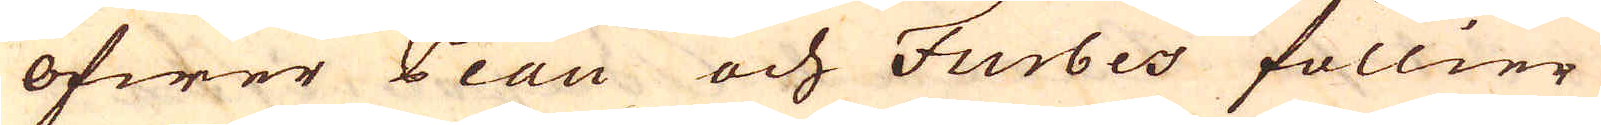öfwer Peau och Furbes föllier
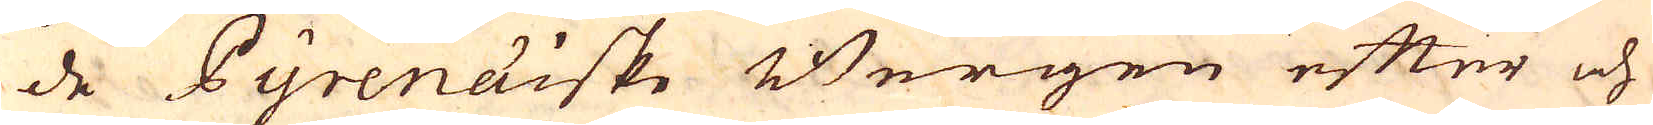de Pyrenaiske Bergen efter och
